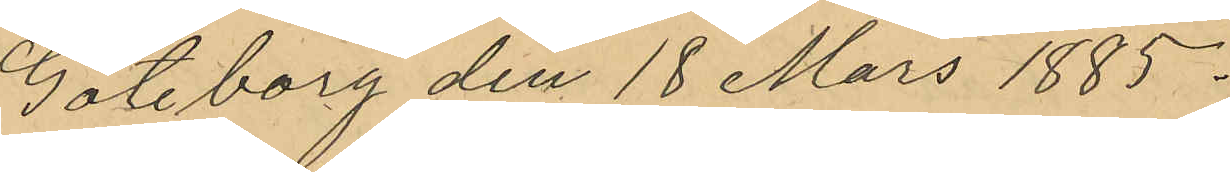Göteborg den 18 Mars 1885.
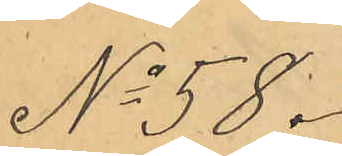No 58.
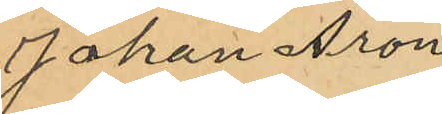Johan Aron
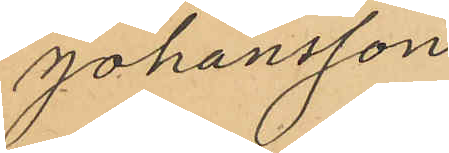Johansson
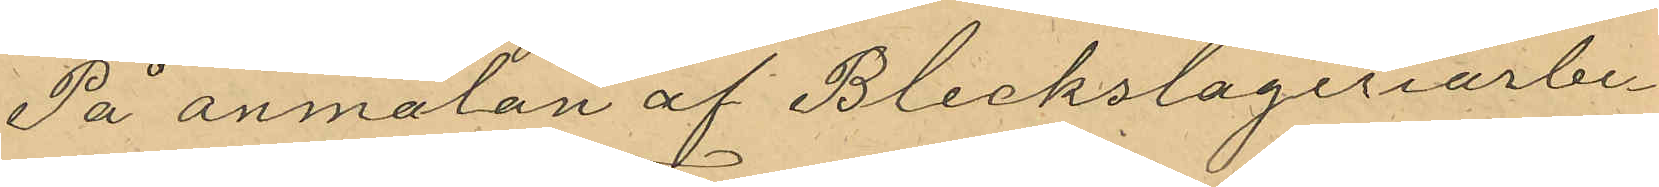På anmälan af Bleckslageriarbe¬
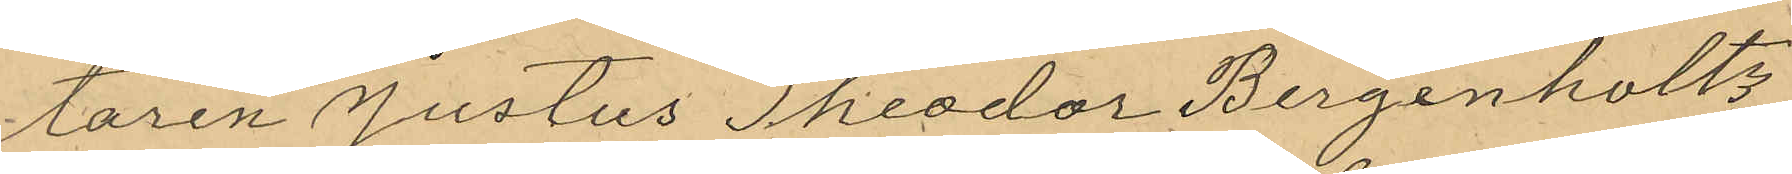taren Justus Theodor Bergenholtz
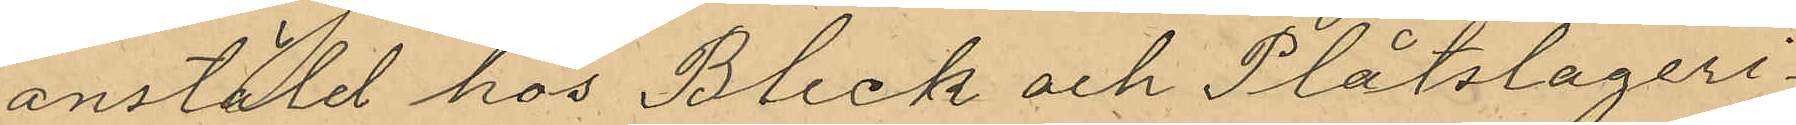anstäld hos Bleck och Plåtslageri¬
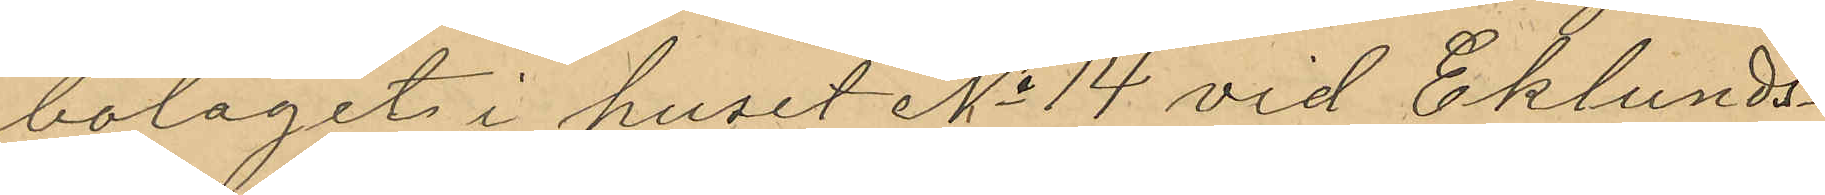bolaget i huset No 14 vid Eklunds¬
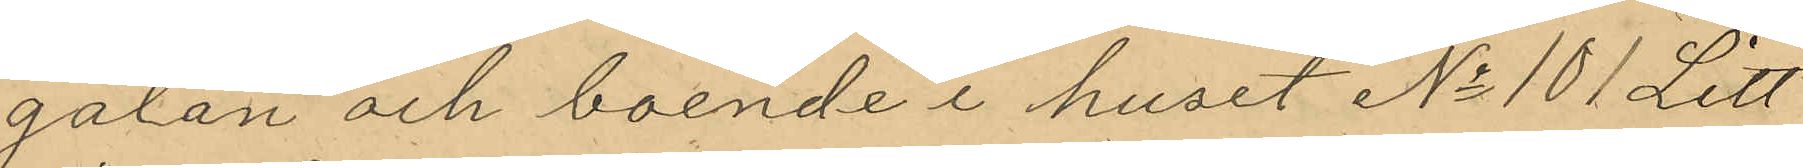gatan och boende i huset No 101 Litt
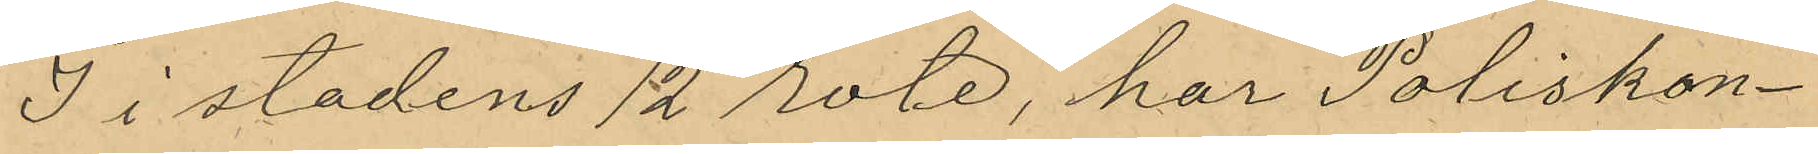J i stadens 12 rote, har Poliskon¬
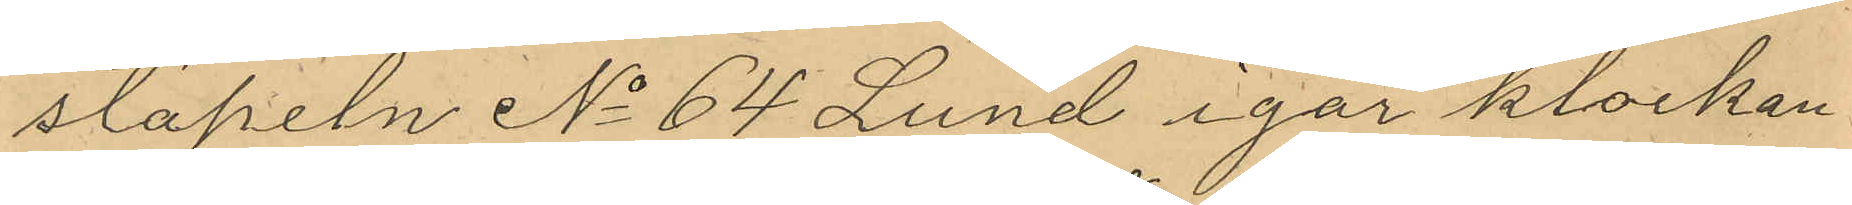stapeln No 64 Lund igår klockan
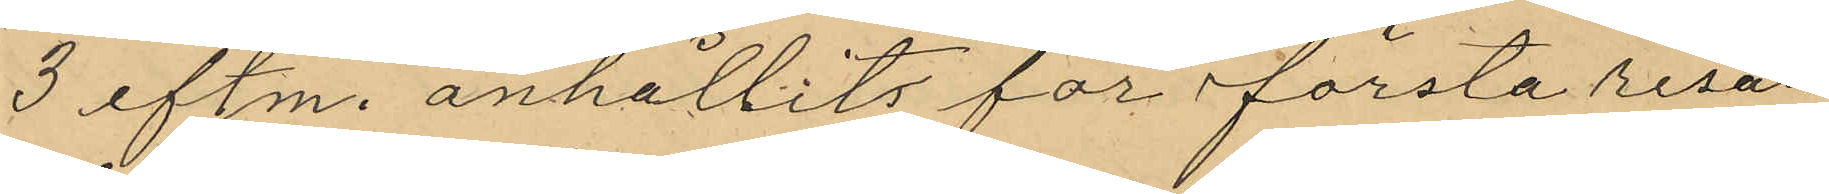3 eftm. anhållit, för första resan
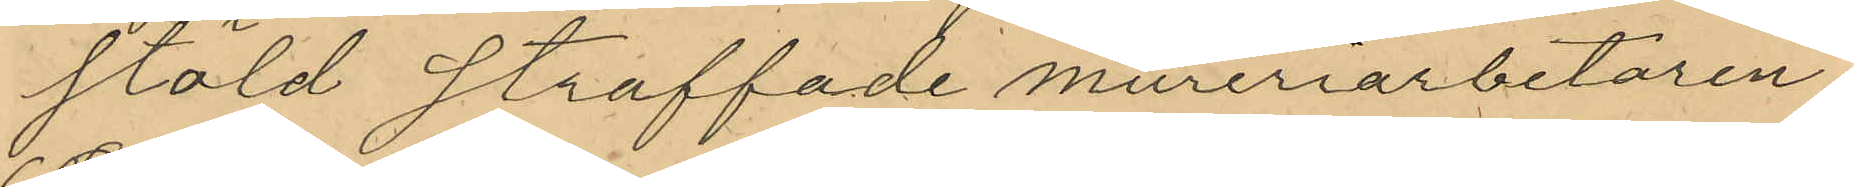stöld straffade mureriarbetaren
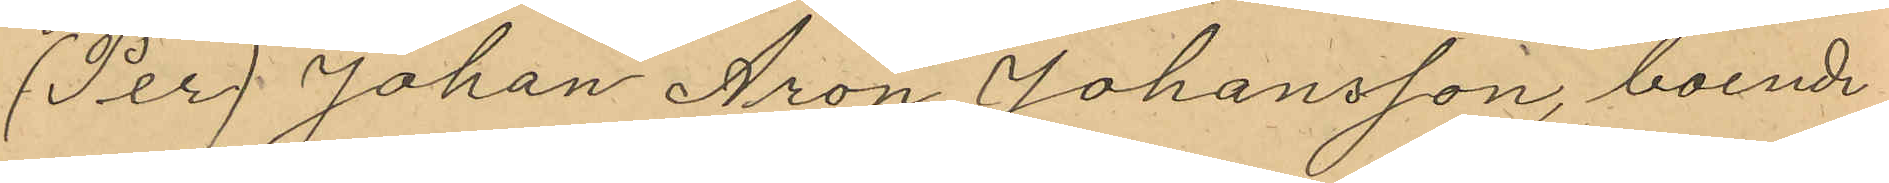(Per) Johan Aron Johansson, boende
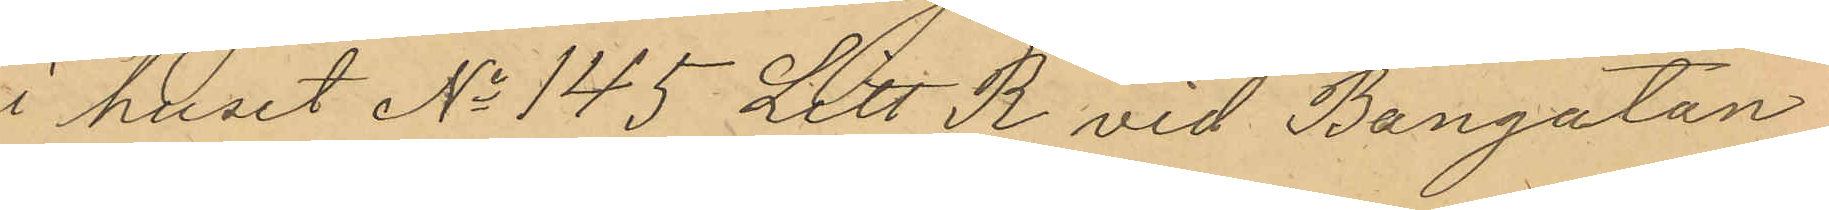i huset No 145 Litt R vid Bangatan
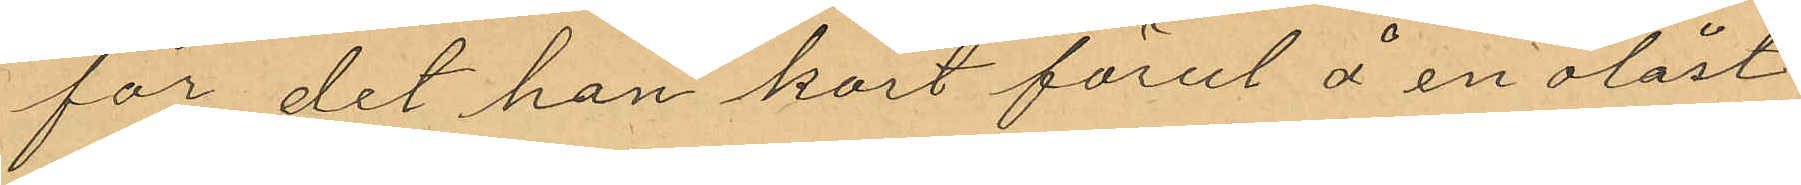för det han kort förut å en olåst
